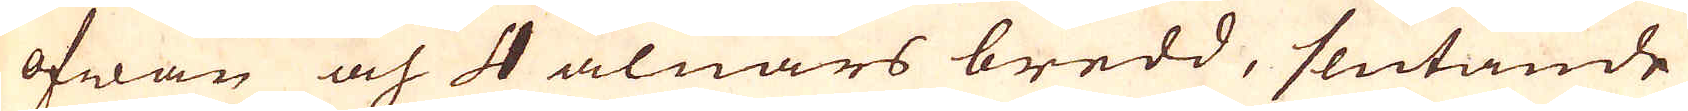ofwan och 4 alnars bredd, slutande
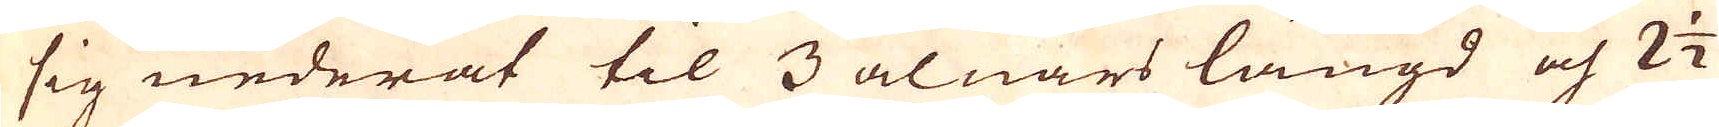sig nederåt til 3 alnars längd och 2 1/2
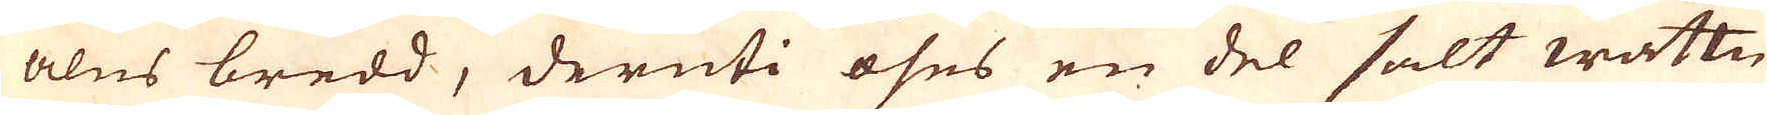alns bredd, deruti öses en del salt wattn
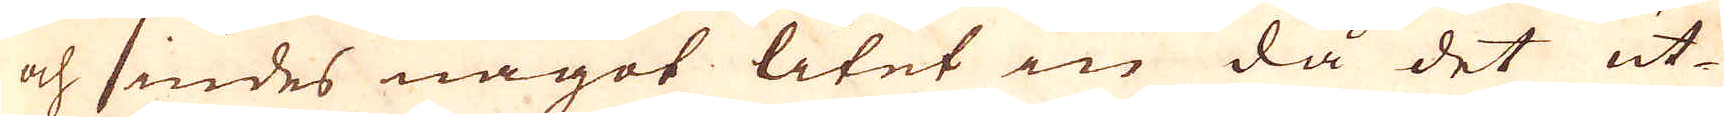och siudes något litet in då det ut-
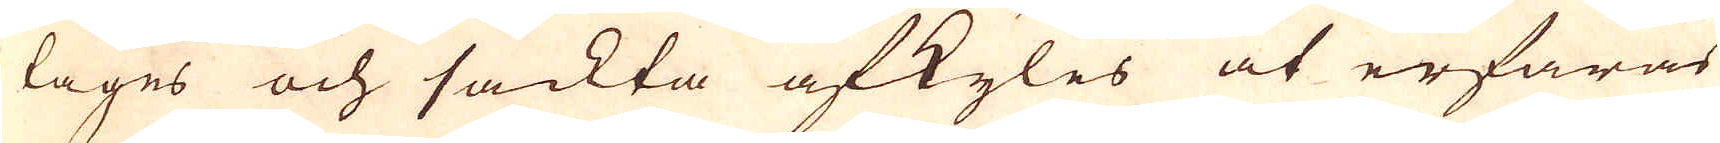tages och sackta afkyles at erfaras
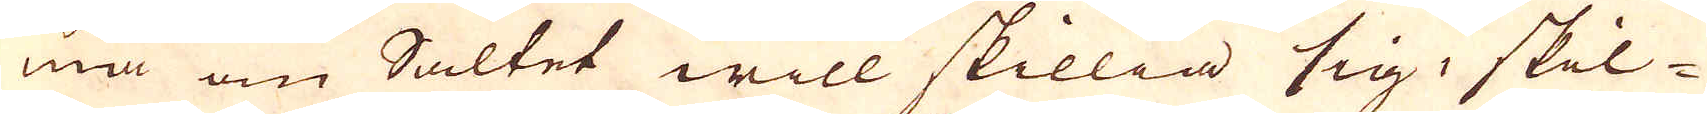må om Saltet will skillia sig, skil-
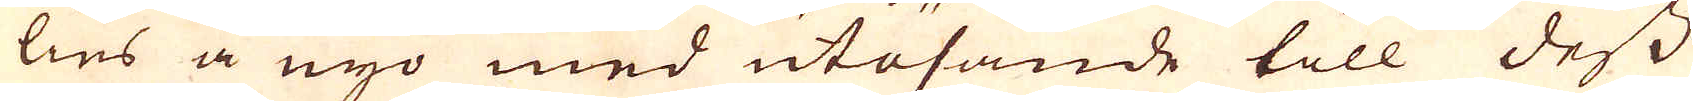lies å nyo med utösande till dess
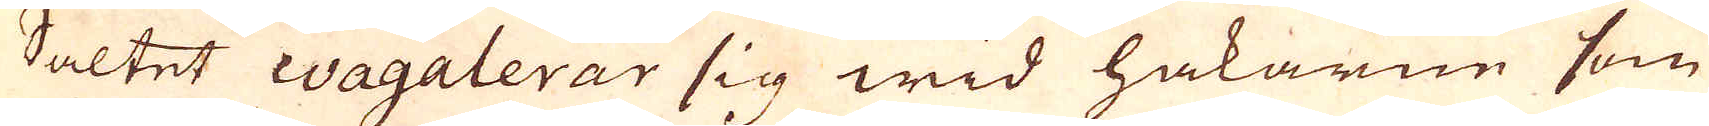Saltet coagalerar sig wid hakarne som
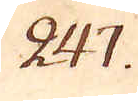247.
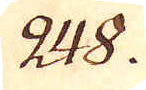248.
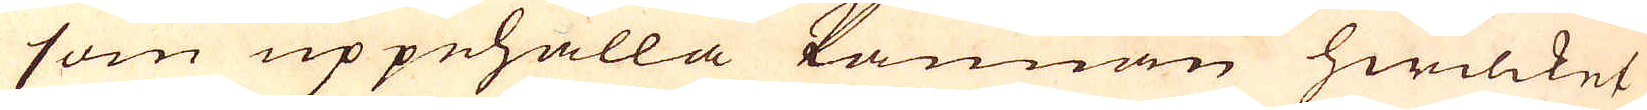som uppehålla kannan hwilcket
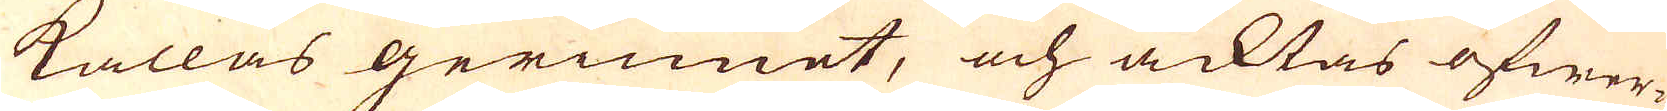kallas gerinnet, och acktas öfwer-
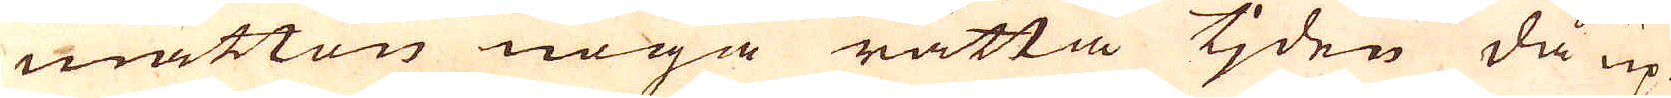måtton noga rätta tjden då up-
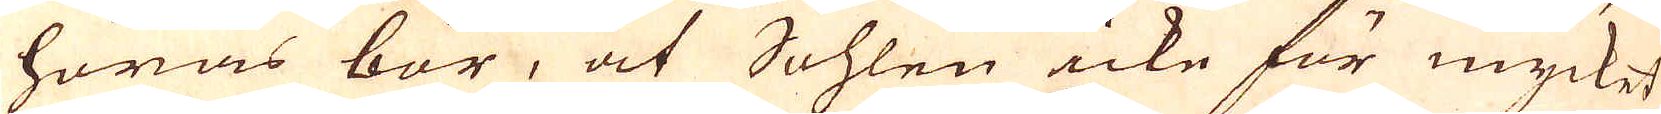höras bör, at Sohlen icke för mycket
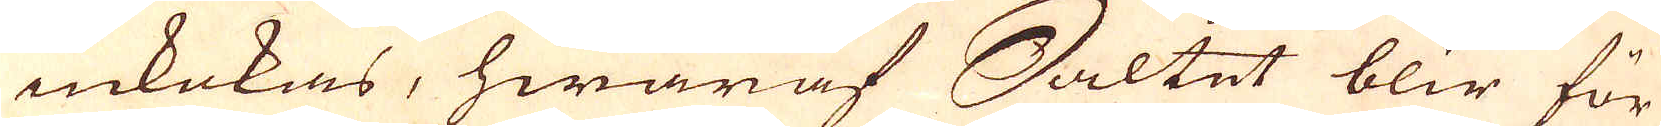inkokas, hwaraf Saltet blir för
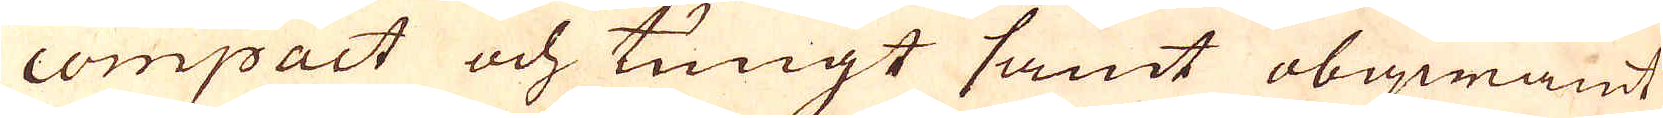compact och tungt samt obeqwämt
